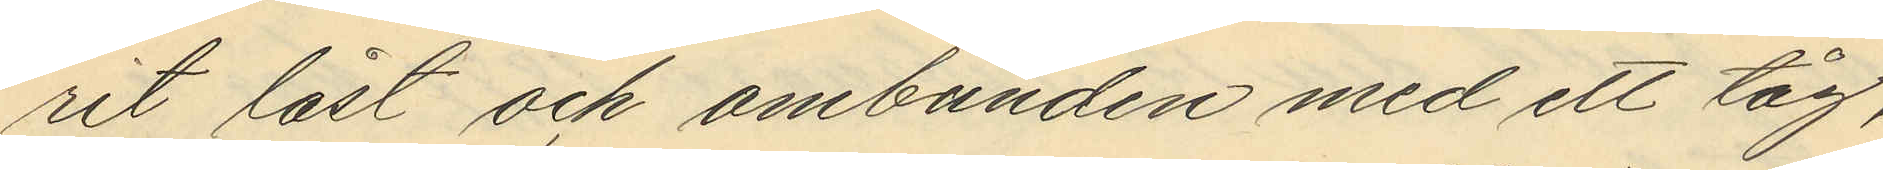rit låst och ombunden med ett tåg,
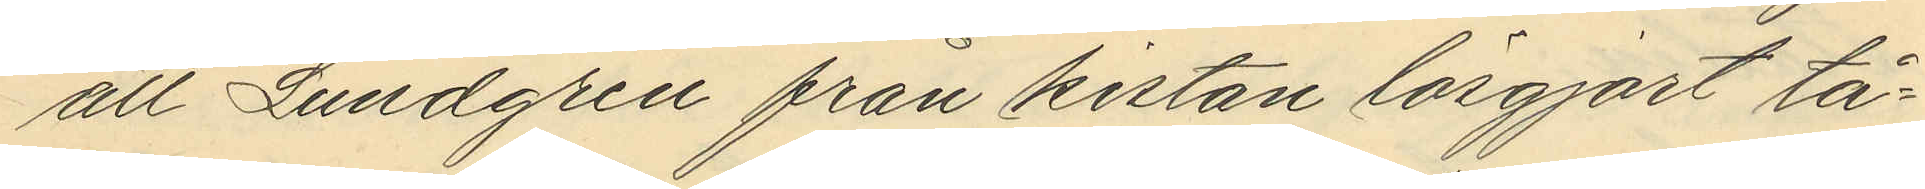att Lundgren från kistan lösgjort tå¬
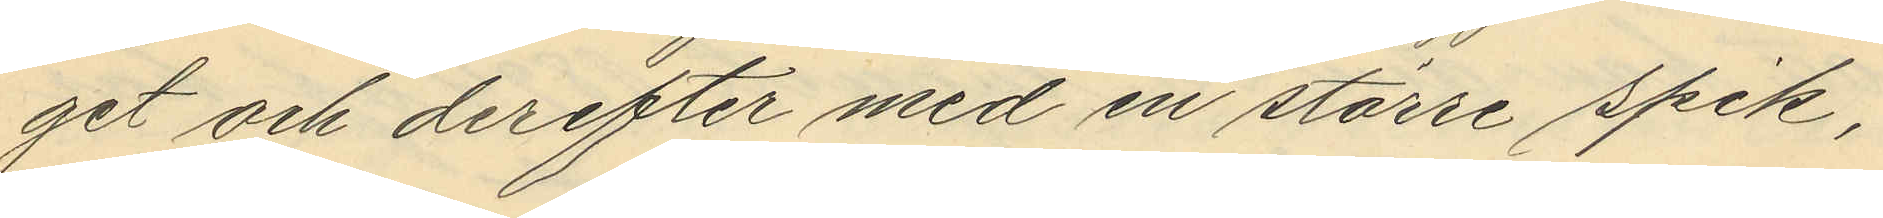get och derefter med en större spik,
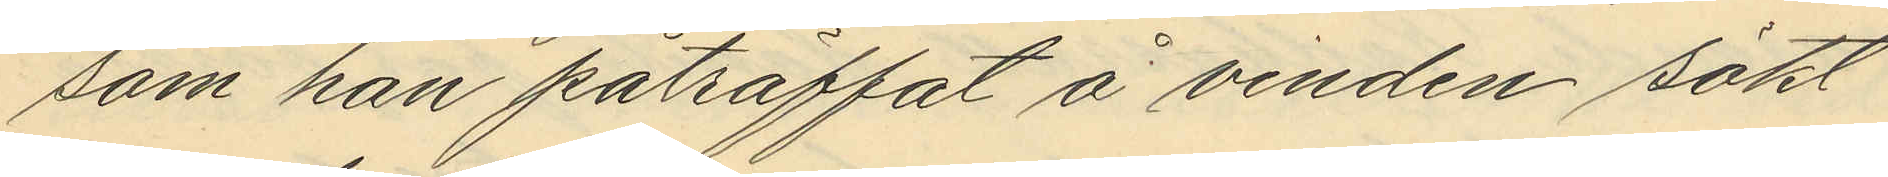som han påträffat å vinden sökt
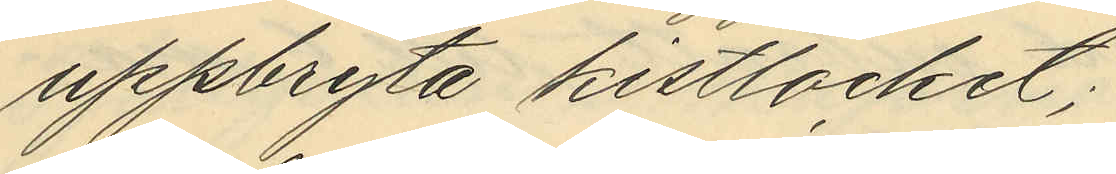uppbryta kistlocket;
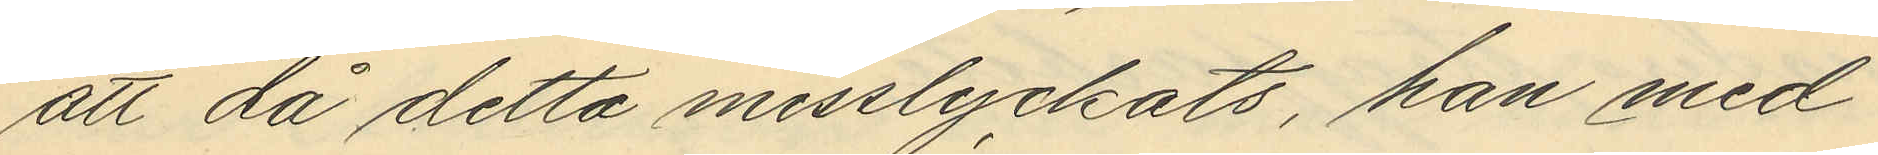att då detta misslyckats, han med
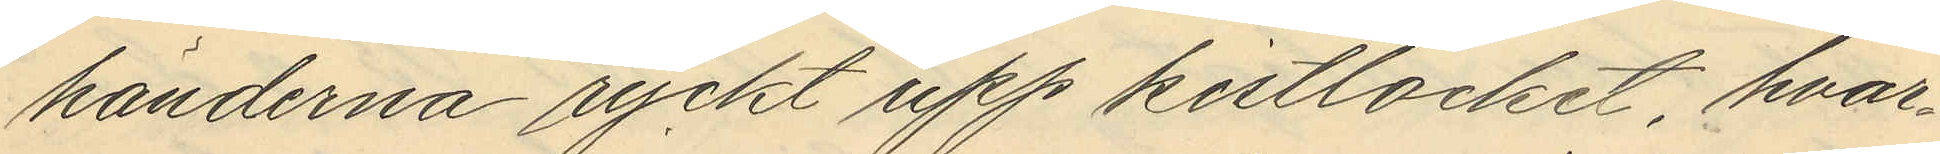händerna ryckt upp kistlocket, hvar¬
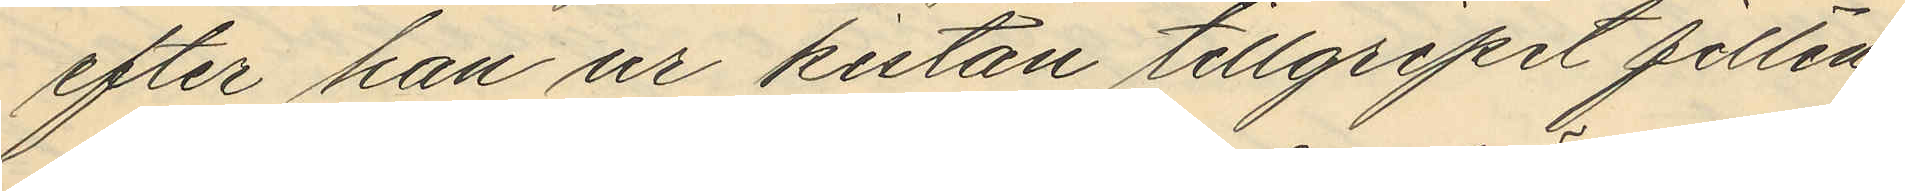efter han ur kistan tillgripit filten
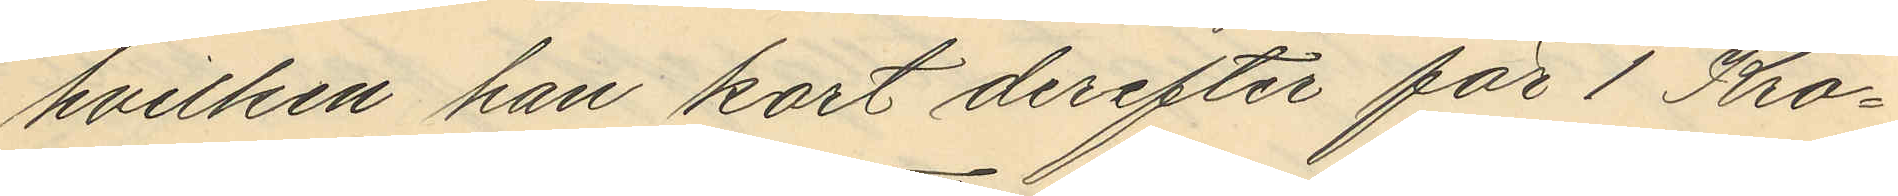hvilken han kort derefter för 1 Kro¬
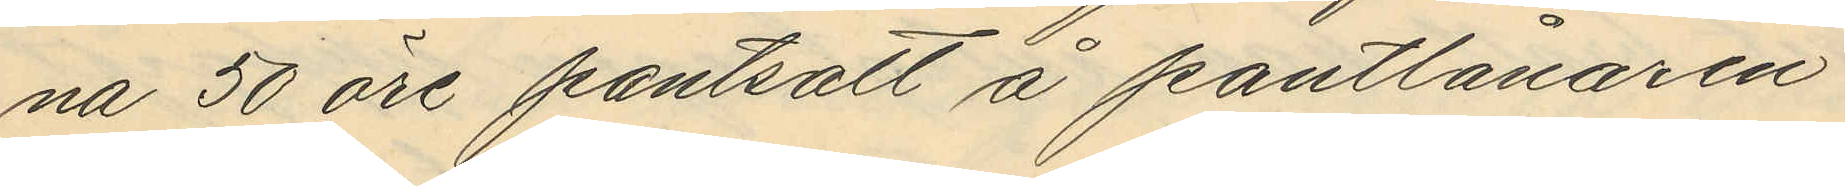na 50 öre pantsatt å pantlånaren
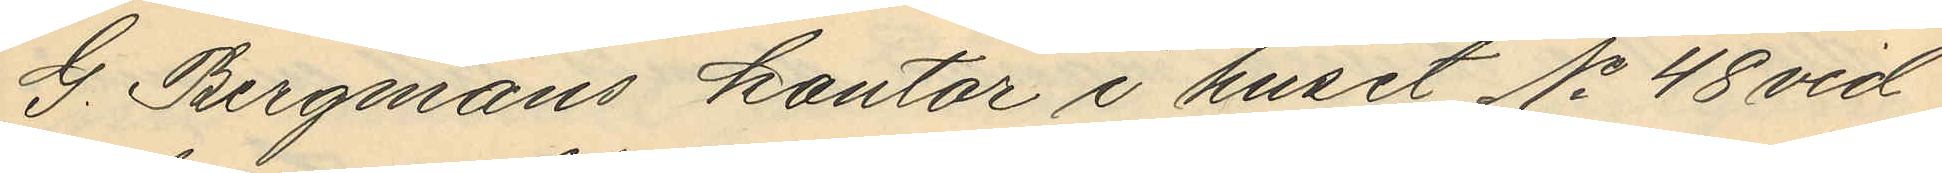G. Bergmans kontor i huset No 48 vid
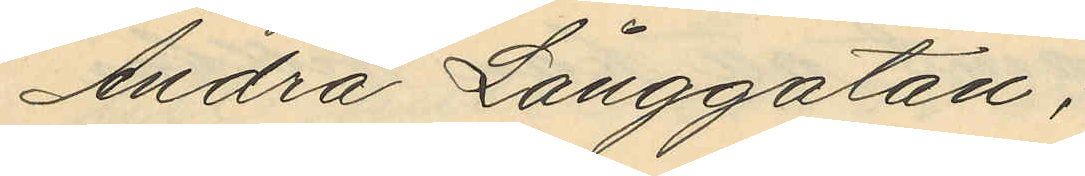Andra Långgatan;
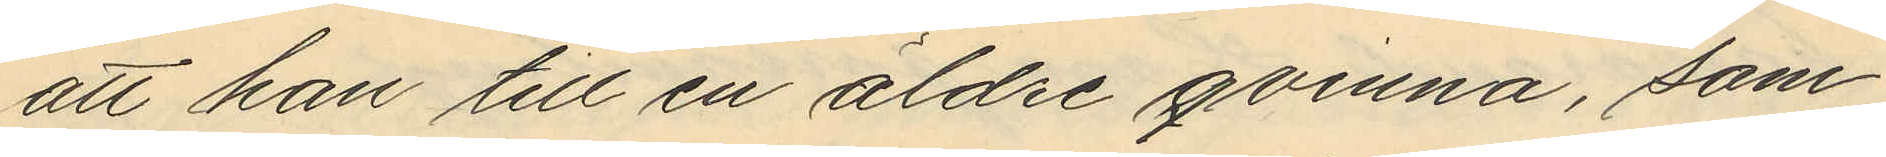att han till en äldre qvinna, som
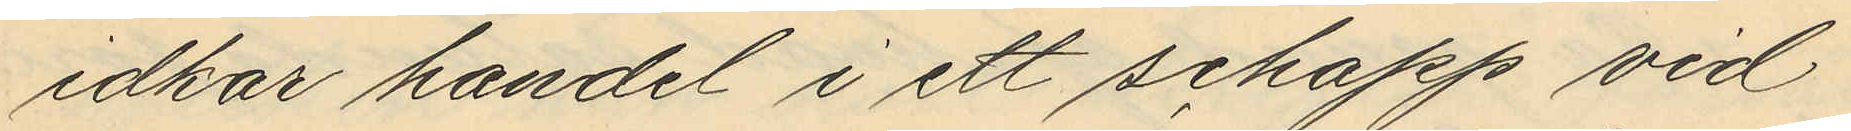idkar handel i ett schapp vid
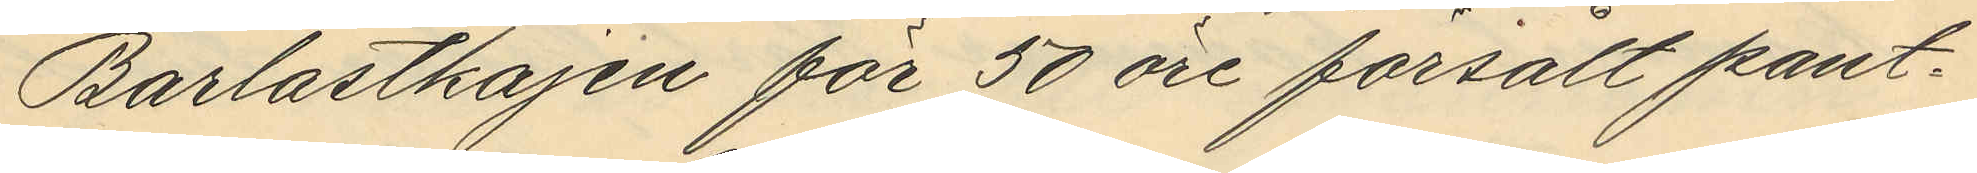Barlastkajen för 50 öre försålt pant¬
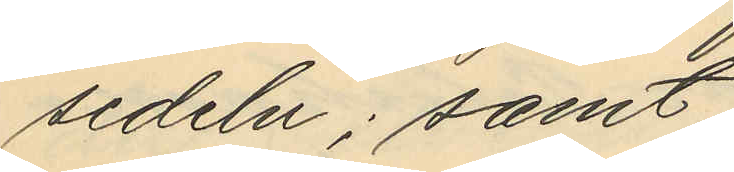sedeln; samt
